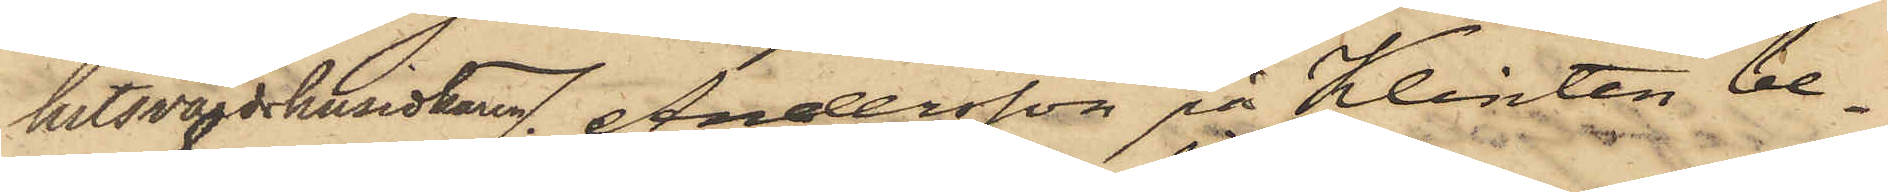hetsvärdshusidkaren Andersson på Klinten be¬
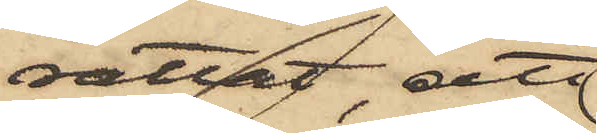rättat, att
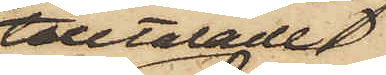tilltalade
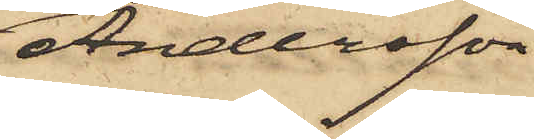Andersson
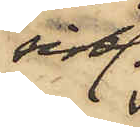sistl.
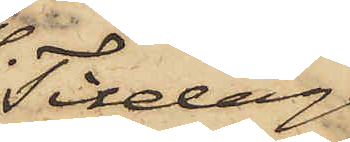Tisdag
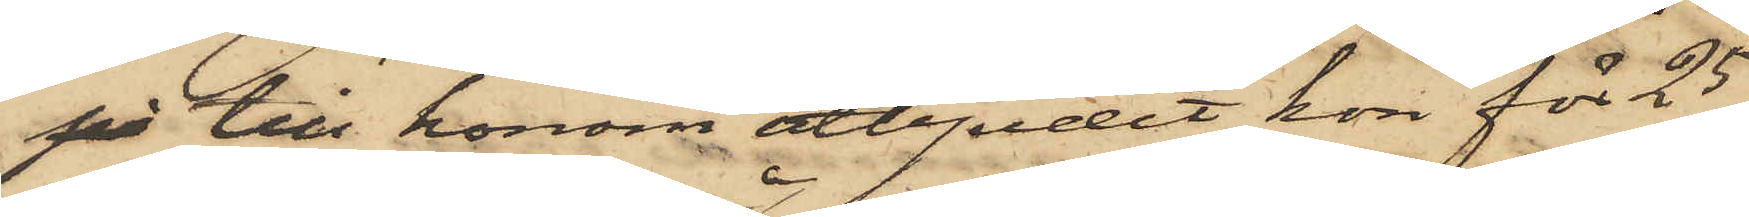på till honom utbjudit kon för 25
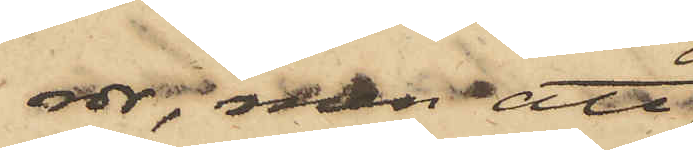rdr, men att
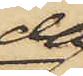då
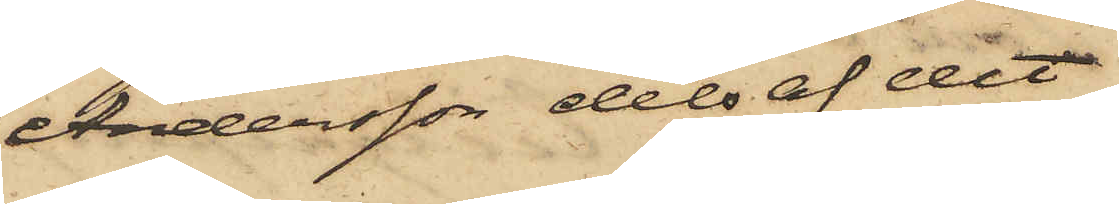Andersson dels af det
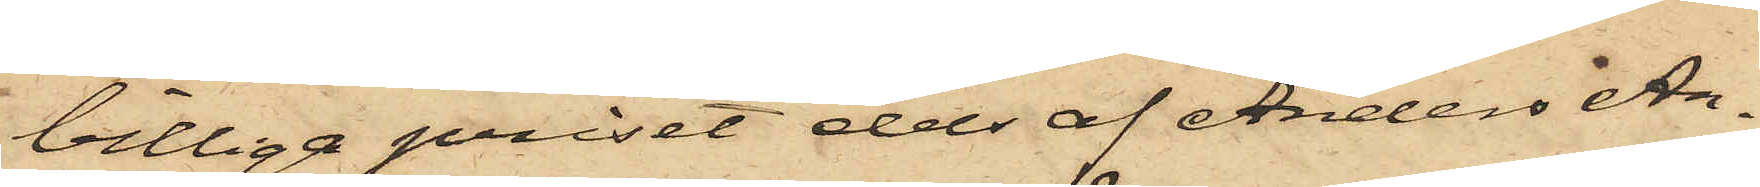billiga priset dels af Anders An¬
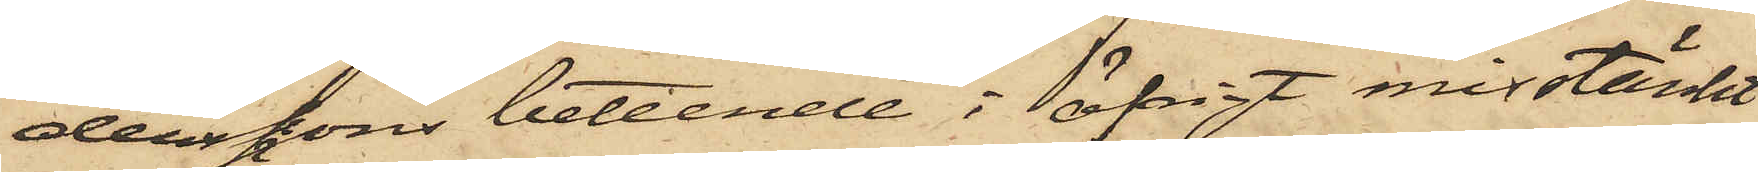derssons beteende i öfrigt misstänkt
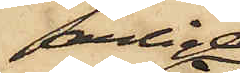ärliga
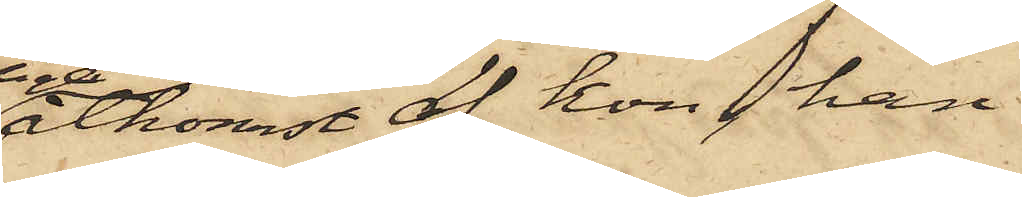åtkomst af kon, han
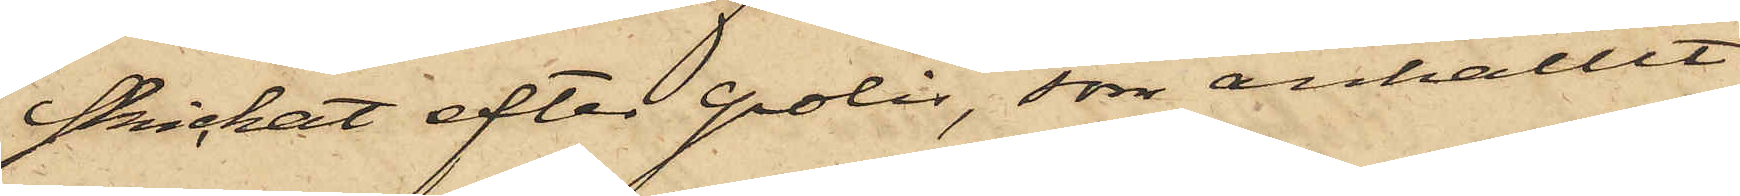skickat efter polis, som anhållit
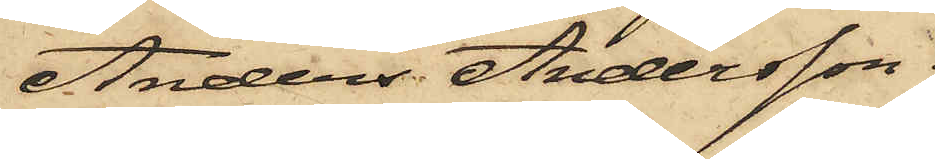Anders Andersson.
